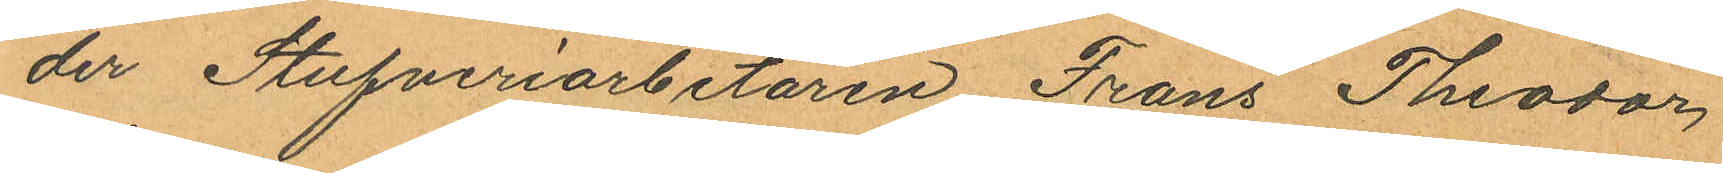der Stufveriarbetaren Frans Theodor
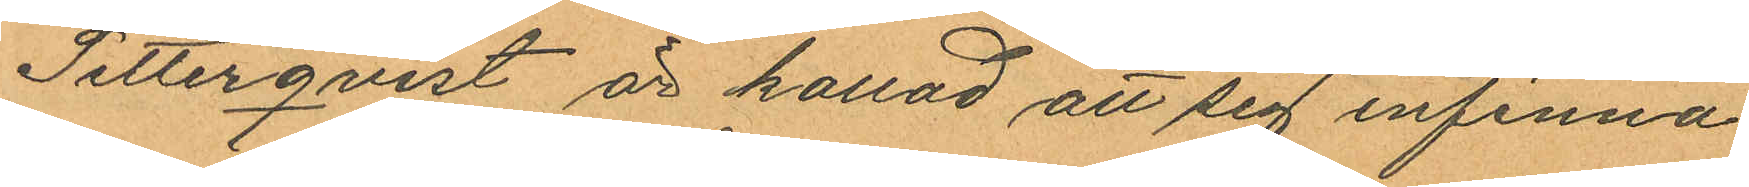Setterqvist är kallad att sig infinna.
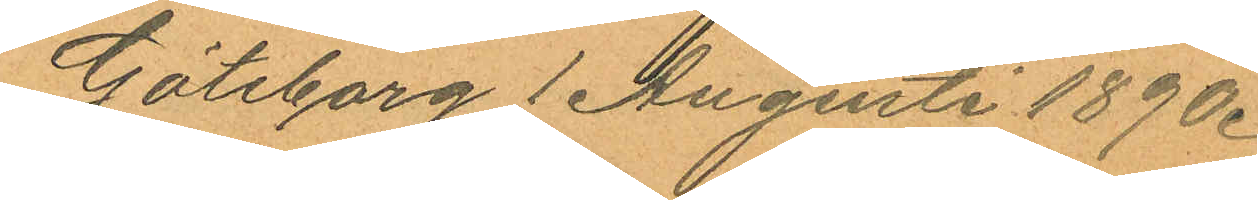Göteborg 1 Augusti 1890.
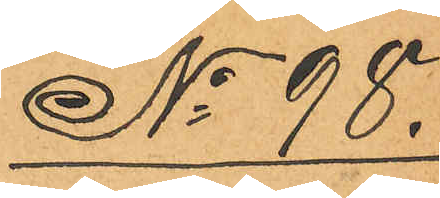No 98.
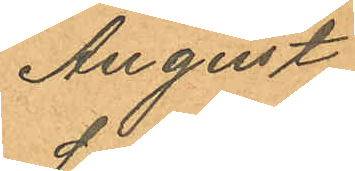August
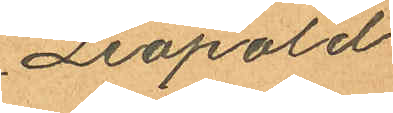Leopold
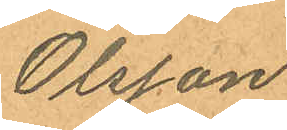Olsson
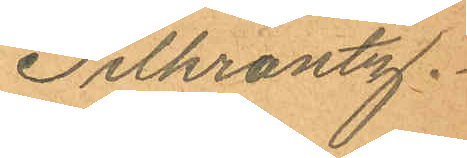Pilkrantz.
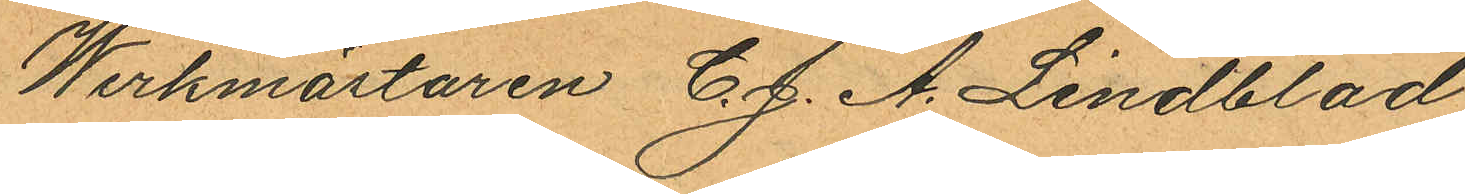Werkmästaren C. J. A. Lindblad,
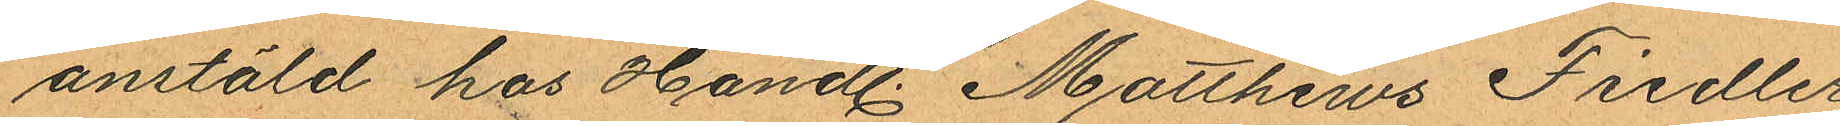anstäld hos Handl. Matthews Fiedler,
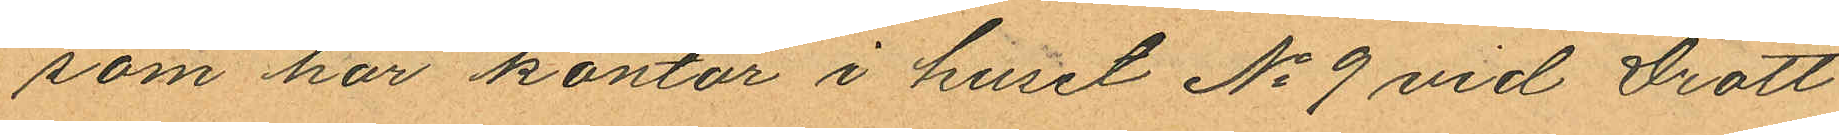som har kontor i huset No 9 vid Drott¬
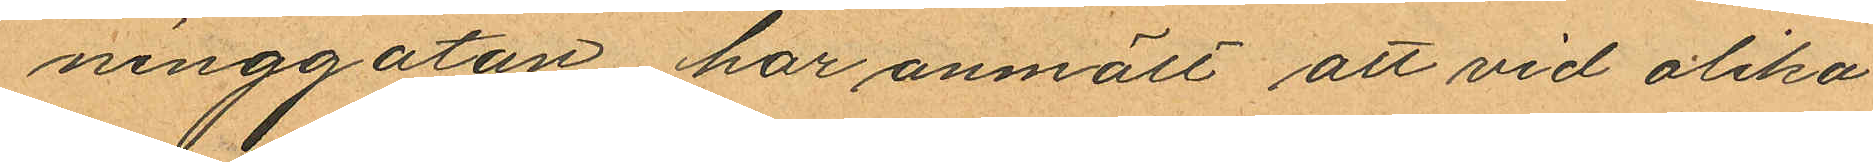ninggatan, har anmält att vid olika
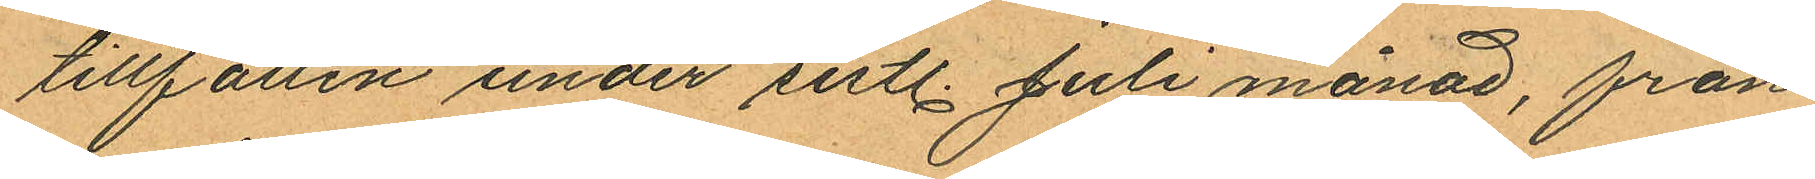tillfällen under sistl. Juli månad, från
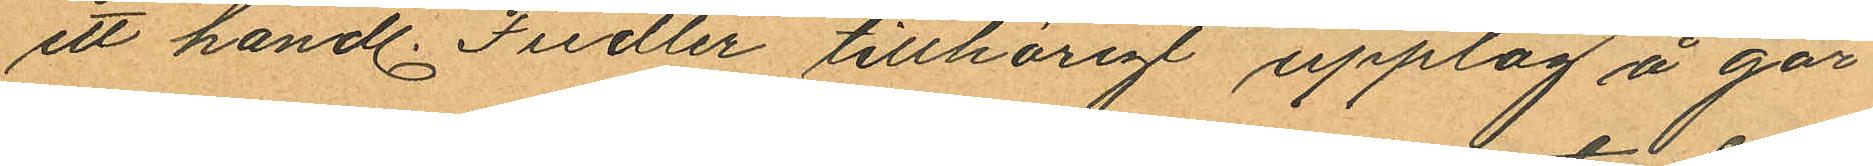ett handl. Fiedler tillhörigt upplag å går¬
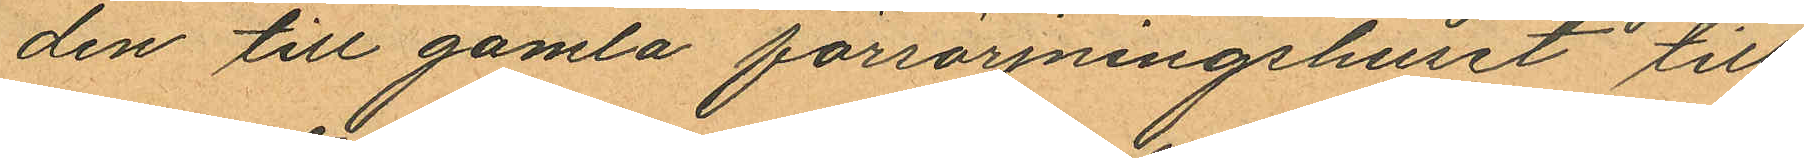den till gamla försörjningshuset till
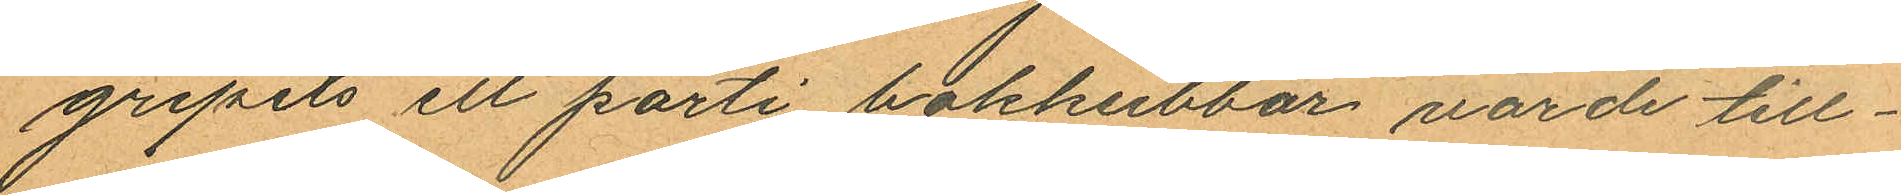gripits ett parti bokkubbar varde till¬
